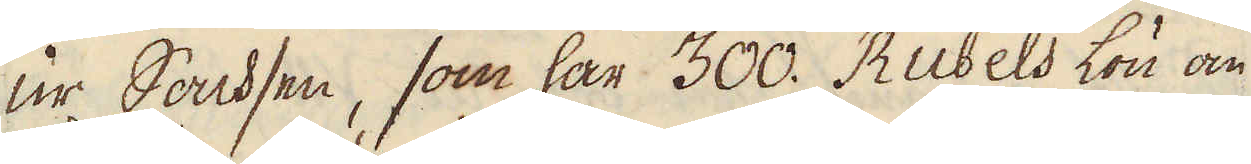ur Sachsen, som har 300. Rubels lön om
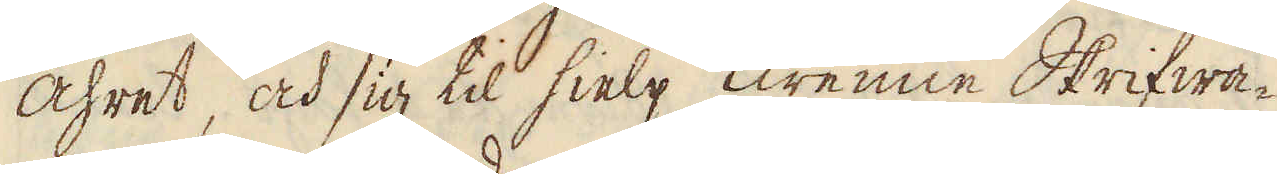åhret, och sig til hielp Twenne Skrifwa-
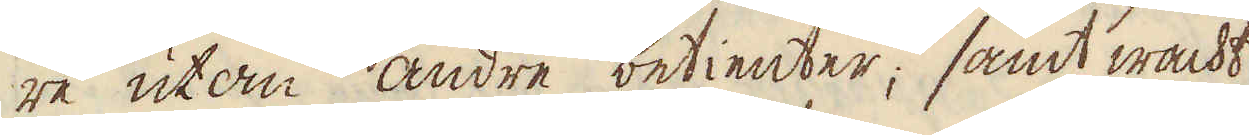re utom andre betienter; samt wackt
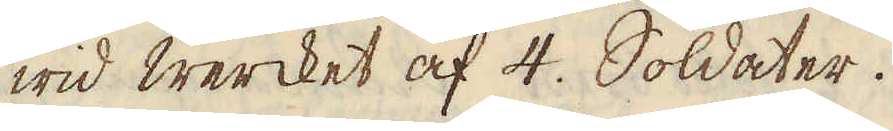wid wercket af 4. Soldater.
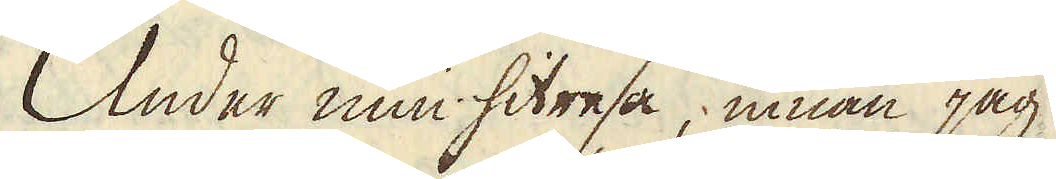Under min hitresa, innan jag
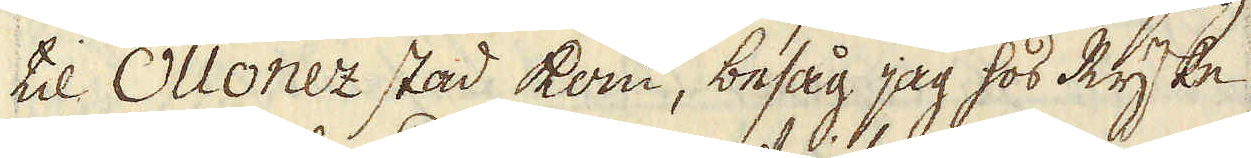til Ollonez stad kom, besåg jag hos Ryske
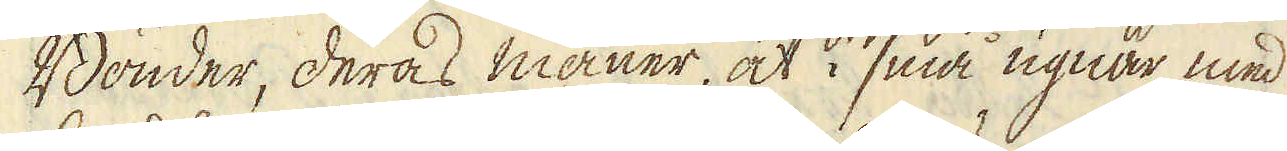Bönder, deras maner, at i små ugnar med
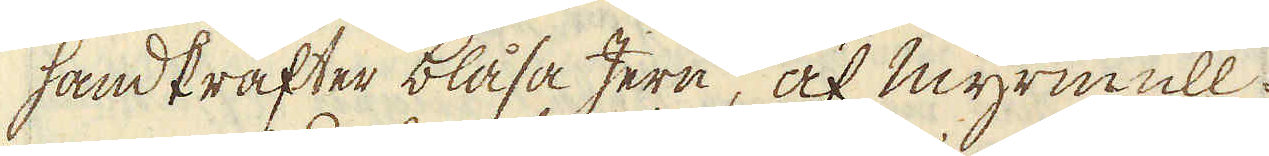handkrafter blåsa Jern, af mymull.
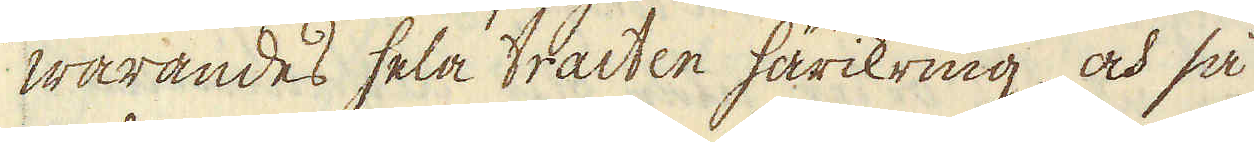Warandes hela tracten härikring, och så
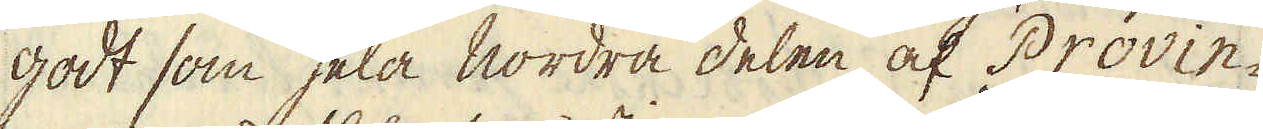godt som hela nordra delen af Provin-
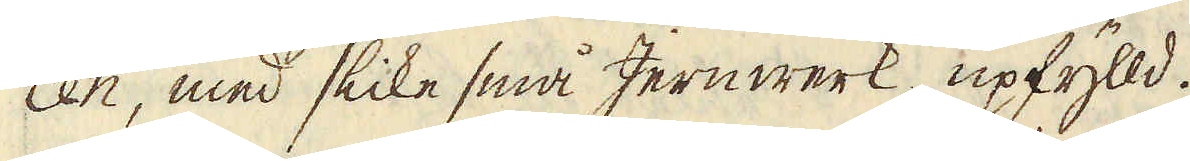cen, med slike små Jernwerk upfylld.
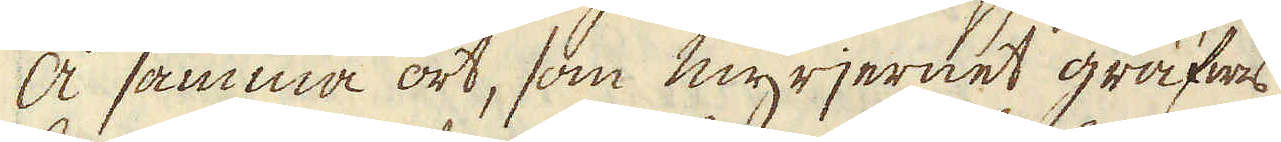Å samma ort, som myrjernet gräfwes
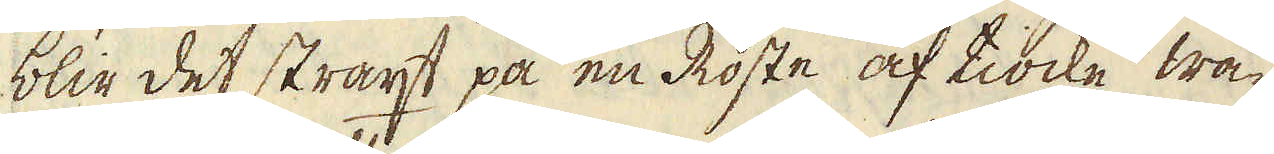blir det straxt på en Roste af tiocke wa-
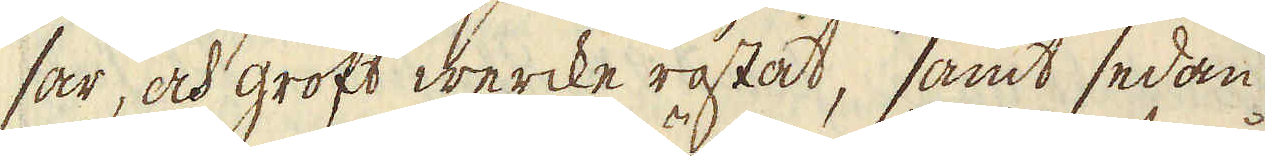sar, och groft wercke rostat, samt sedan
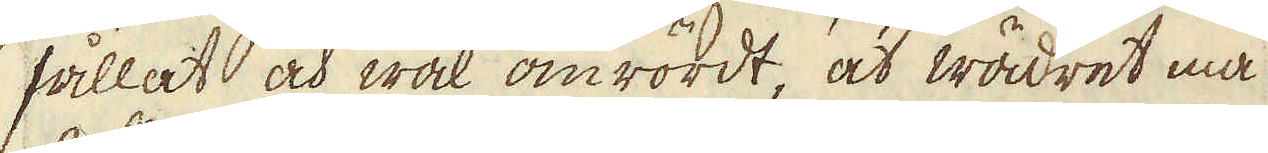sållat och wäl omrördt, at wädret må
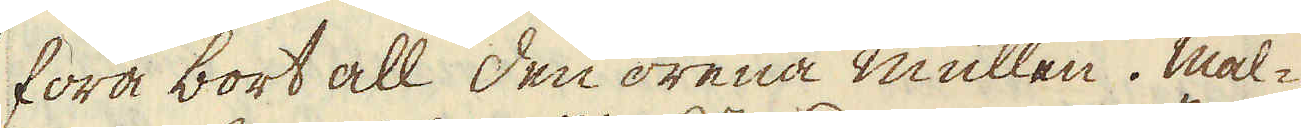föra bort all den orena mullen. Mal-
